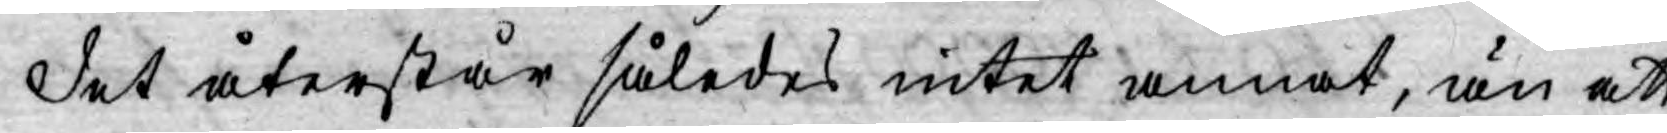Det återstår således intet annat, än att
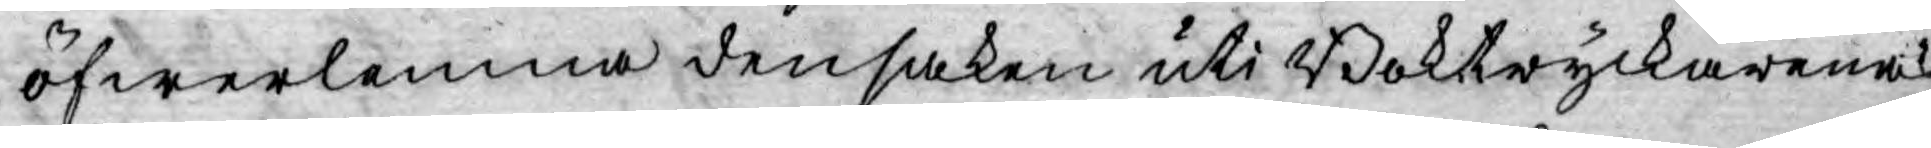öfwerlemna den saken uti Boktryckarenas
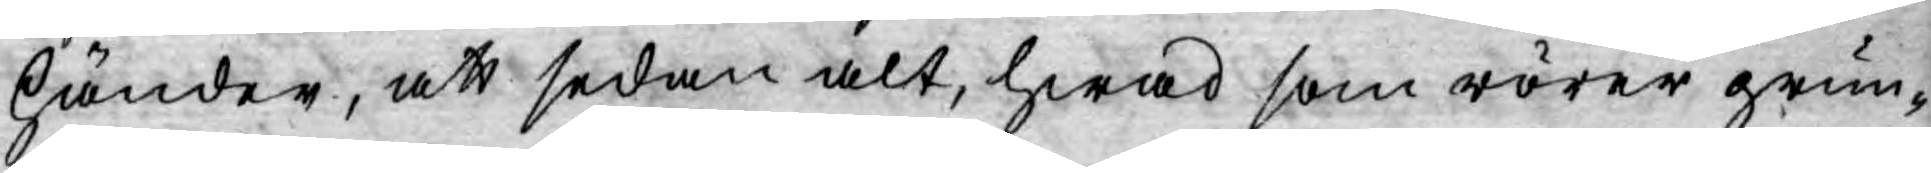händer, att sedan alt, hwad som rörer grun¬
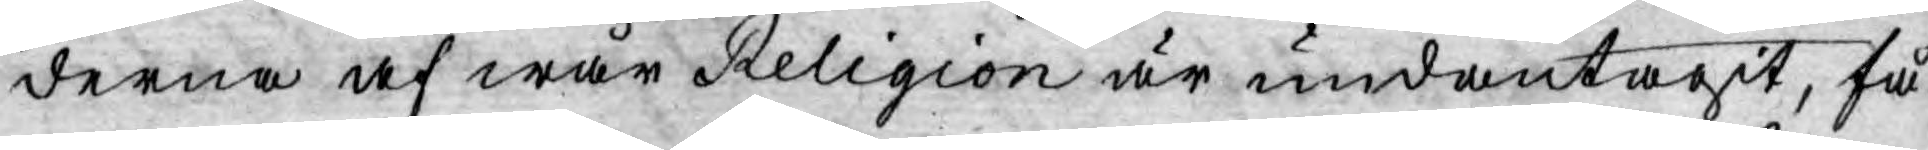derna af wår Religion är undantagit, få
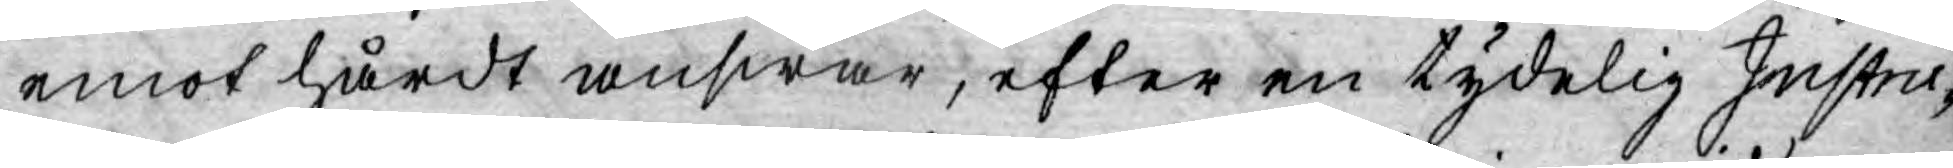emot hårdt answar, efter en tydelig Instru¬
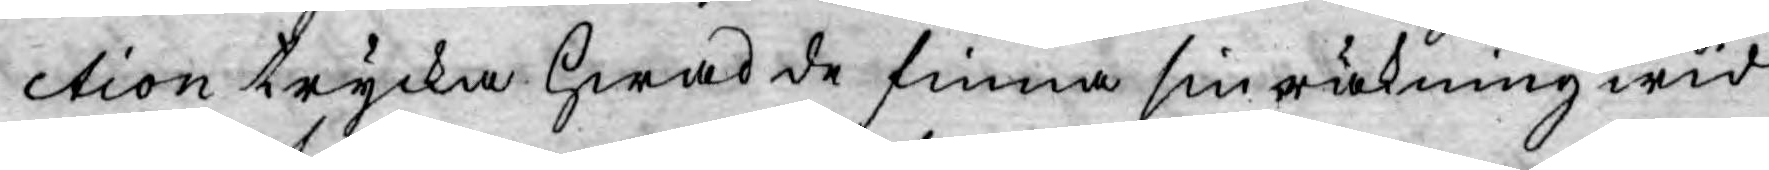ction trycka hwad de finna sin räkning wid.
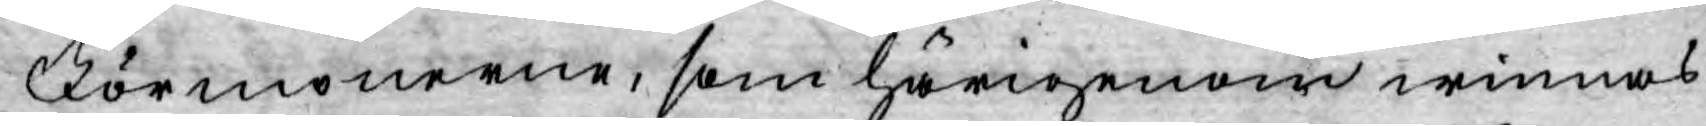Förmonerne, som härigenom winnas
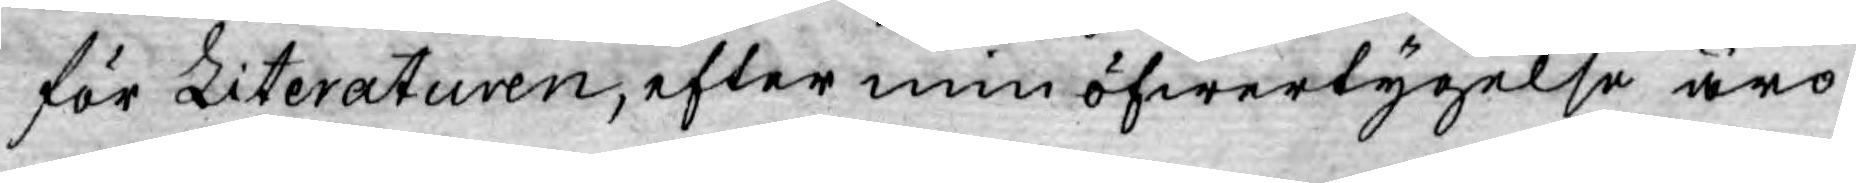för Literaturen, efter min öfwertygelse äro
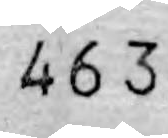463
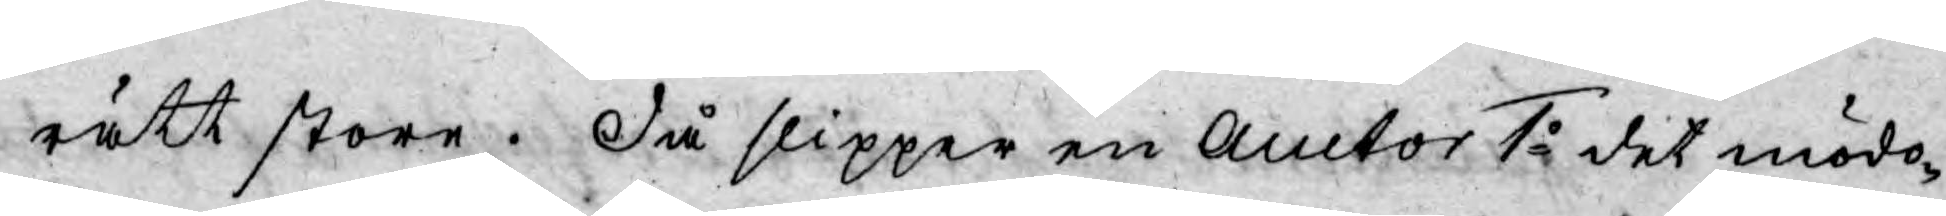rätt store. Då slipper en Auctor 1o det mödo¬
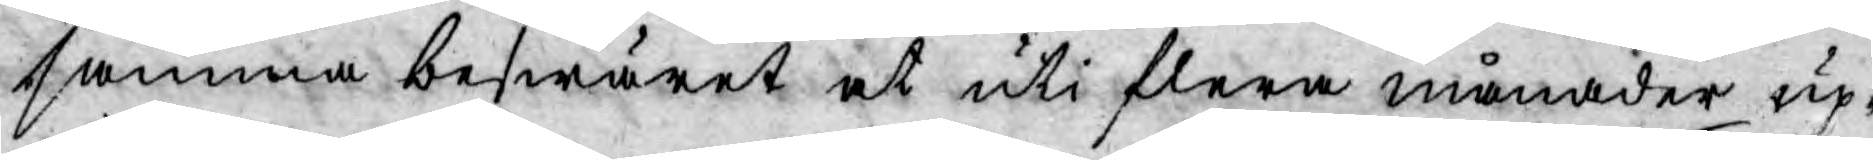samma beswäret ut uti flera månader up¬
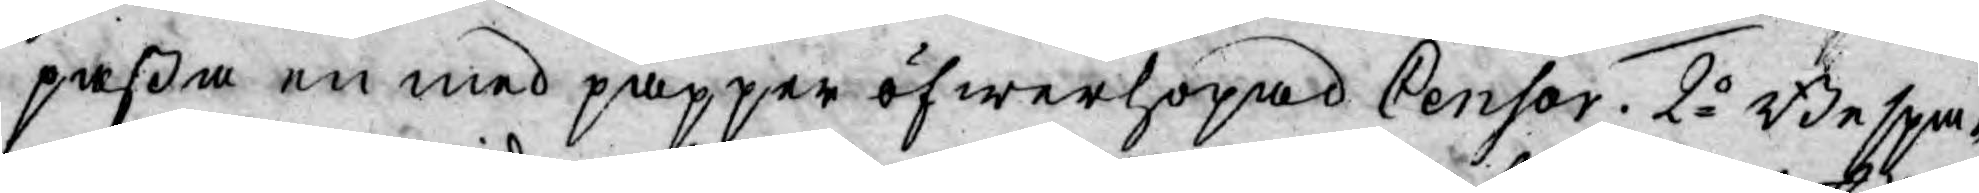paßa en med papper öfwerhopad Censor. 2o Bespa¬
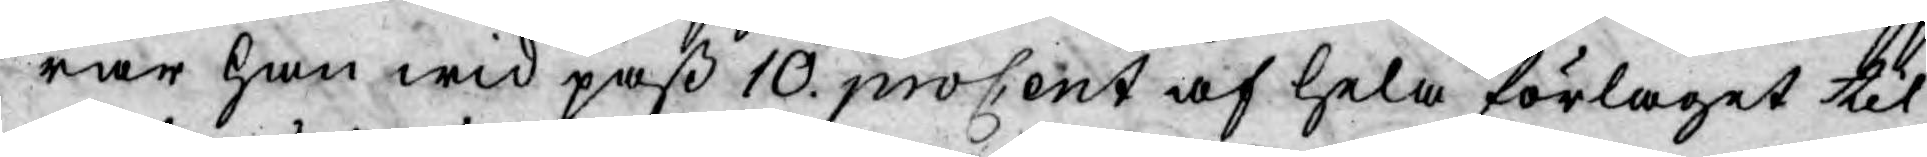rar han wid paß 10. procent af hela förlaget til
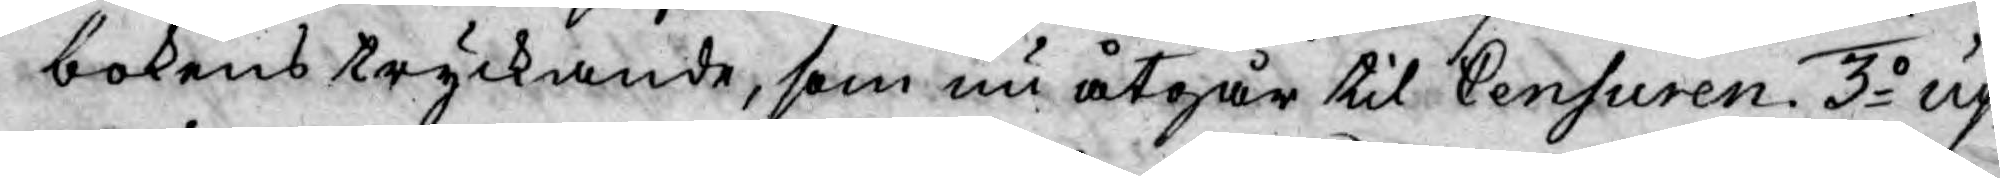bokens tryckande, som nu åtgår til Censuren. 3o up¬
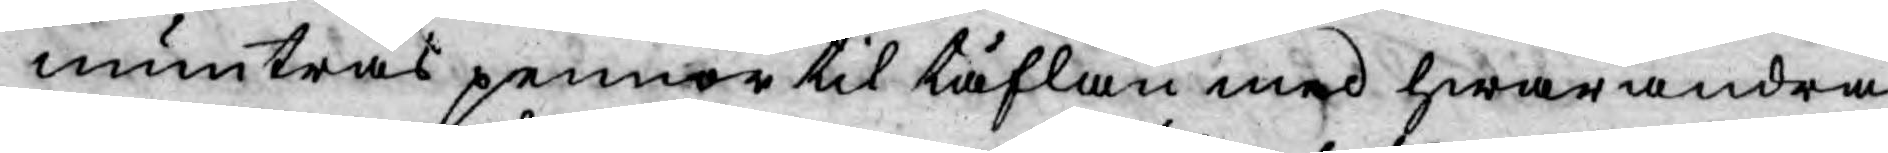muntras pennor til täflan med hwarandra,
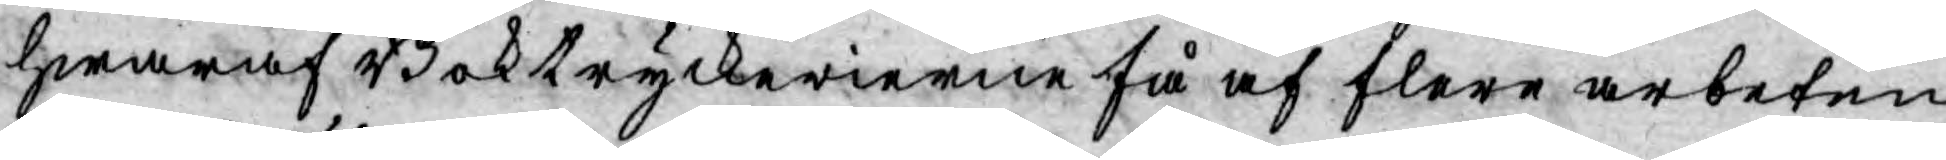hwaraf Boktryckerierne få af flere arbeten,
